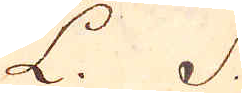L. S.
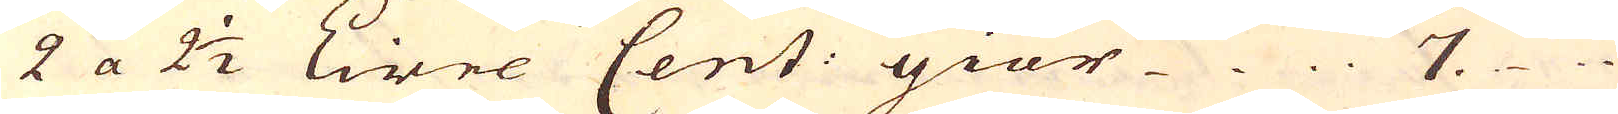2 a 2 1/2 Livre Cent: giör 7.
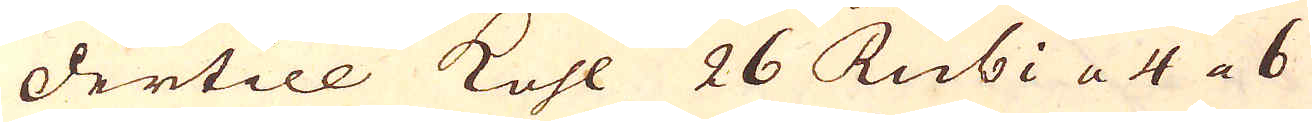dertill kohl 26 Rubi a 4 a 6
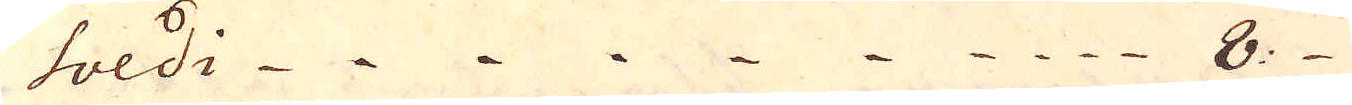soldi 8.
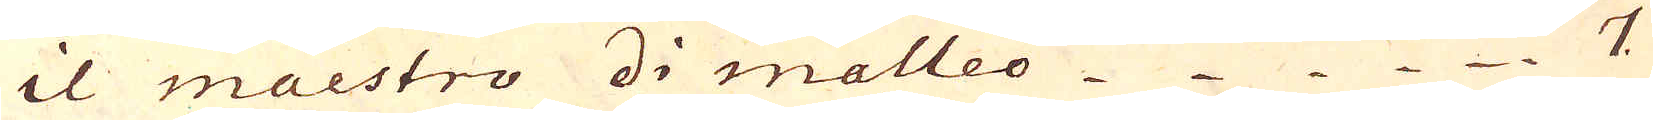il maestro di malleo 7
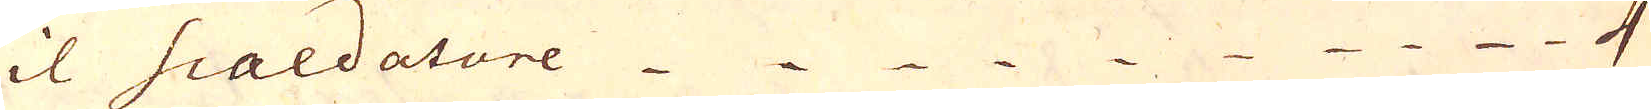til Sialdatore 4
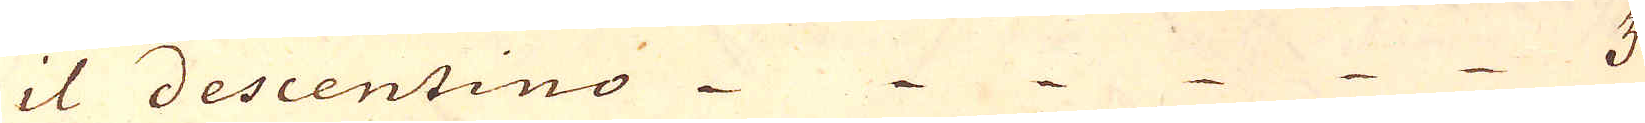it descentino 3.
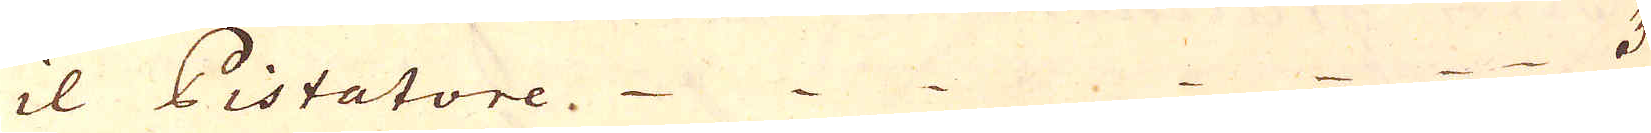il Pistatore. 3.
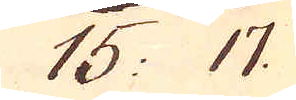15: 17.
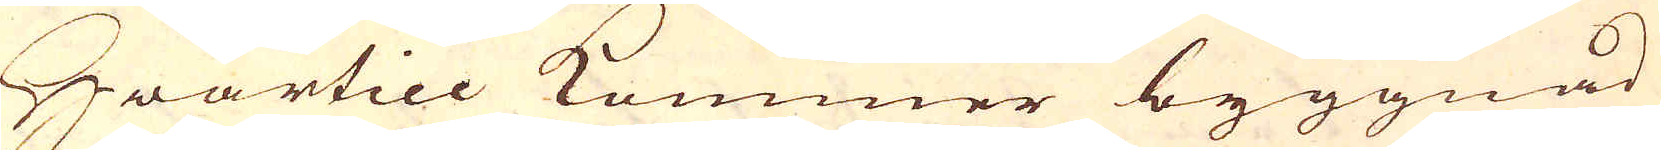Hwartill kommer byggnad
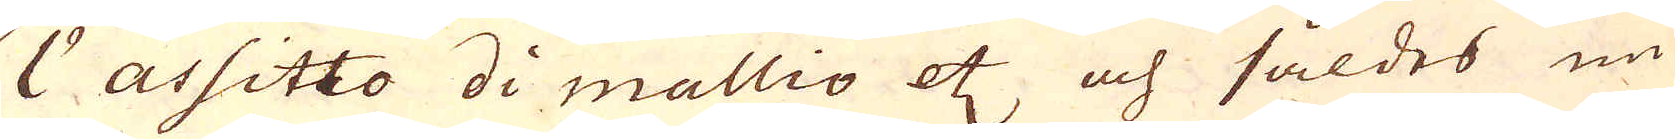1:o assitto di mallio etc och såldes nu
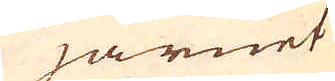järnet
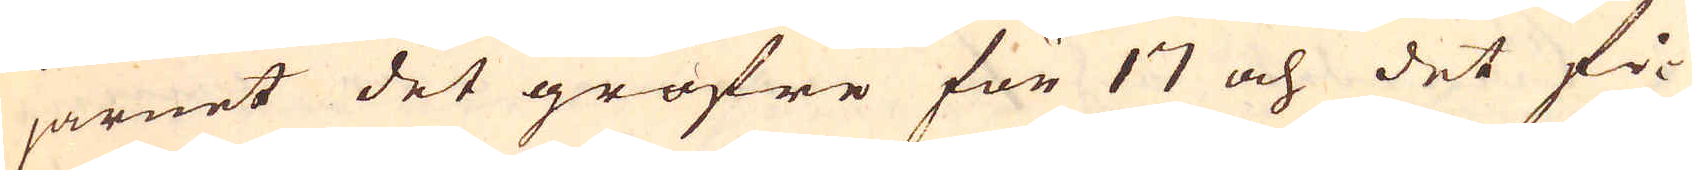järnet det gröfre för 17 och det fi-
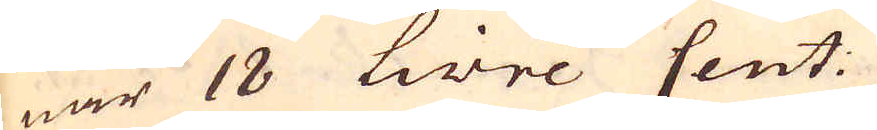nar 18 Livre Cent:
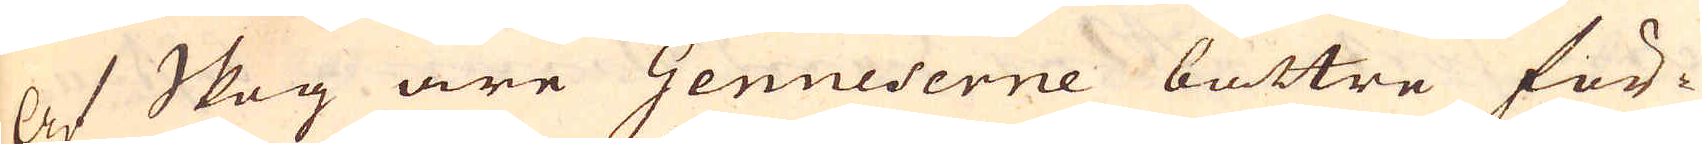Af Skog äre Genueserne bättre för-
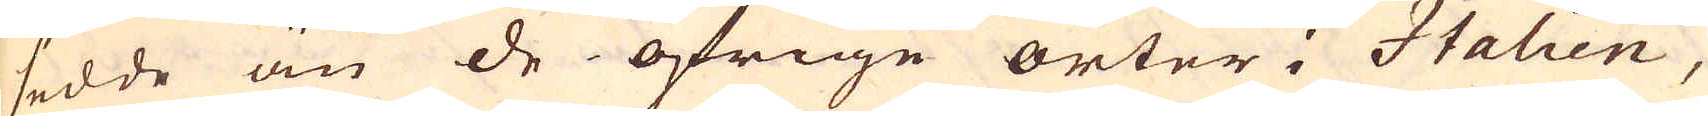sedde än de öfrige orter i Italien,
